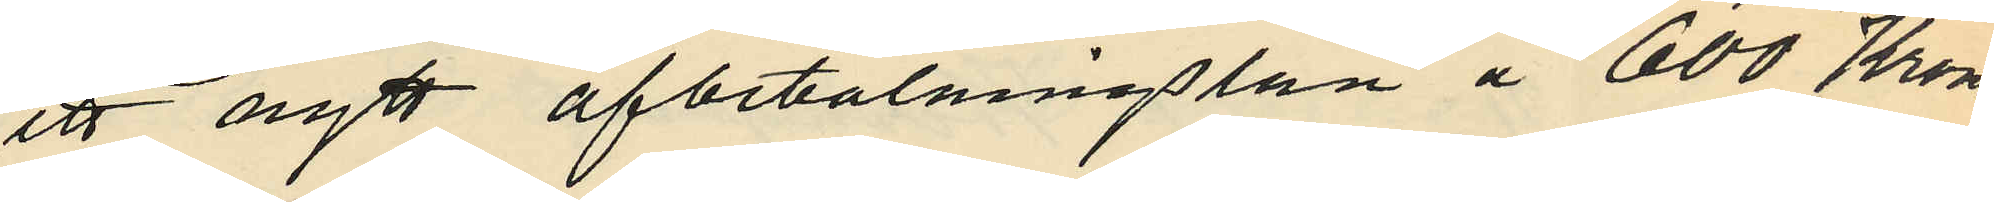ett nytt afbetalningslån å 600 Kronor
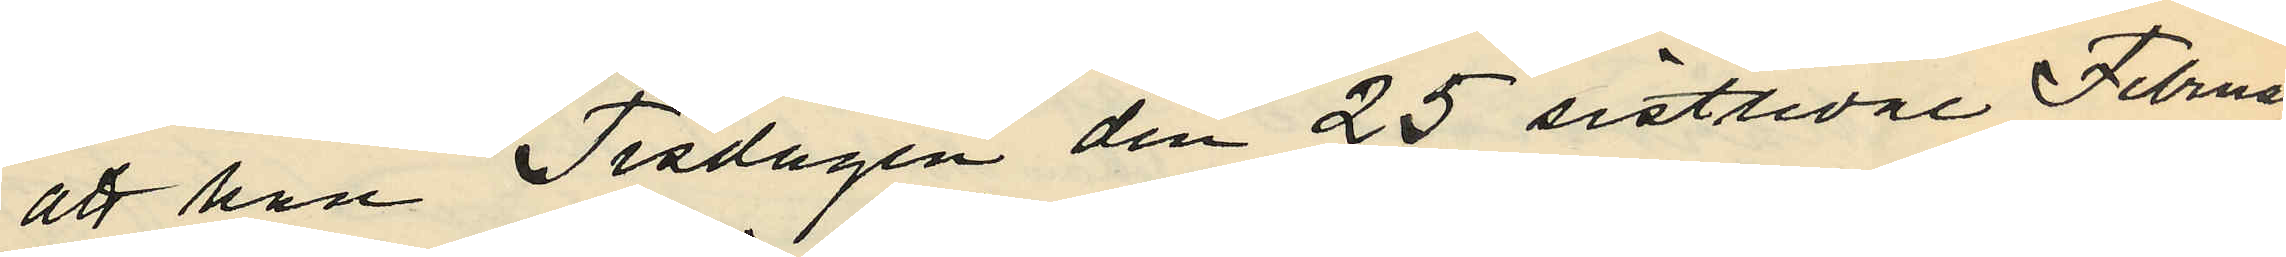att han Tisdagen den 25 sistlidne Februari
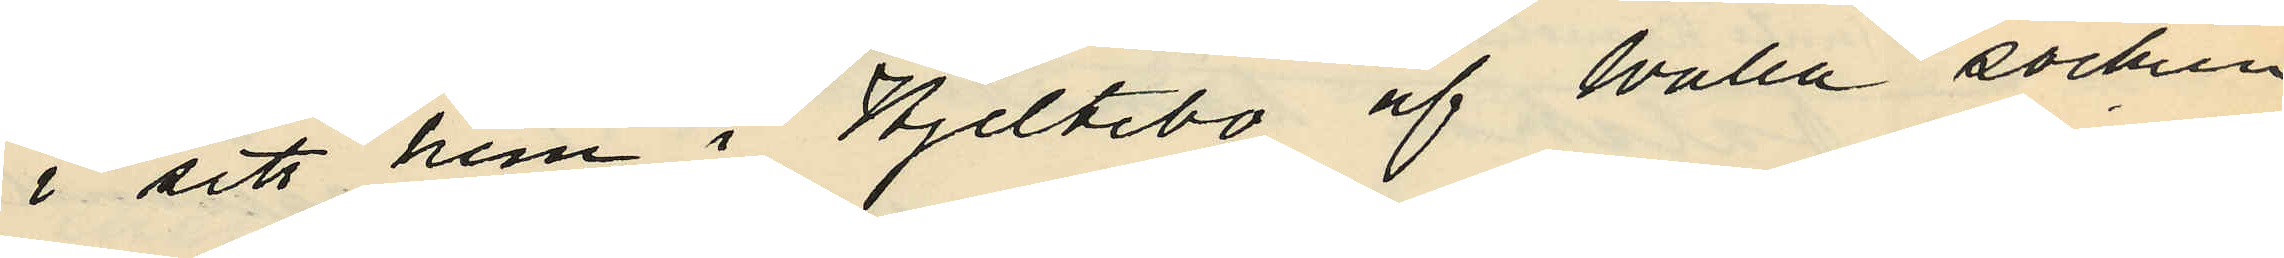i sitt hem i Hjeltebo af Walla socken
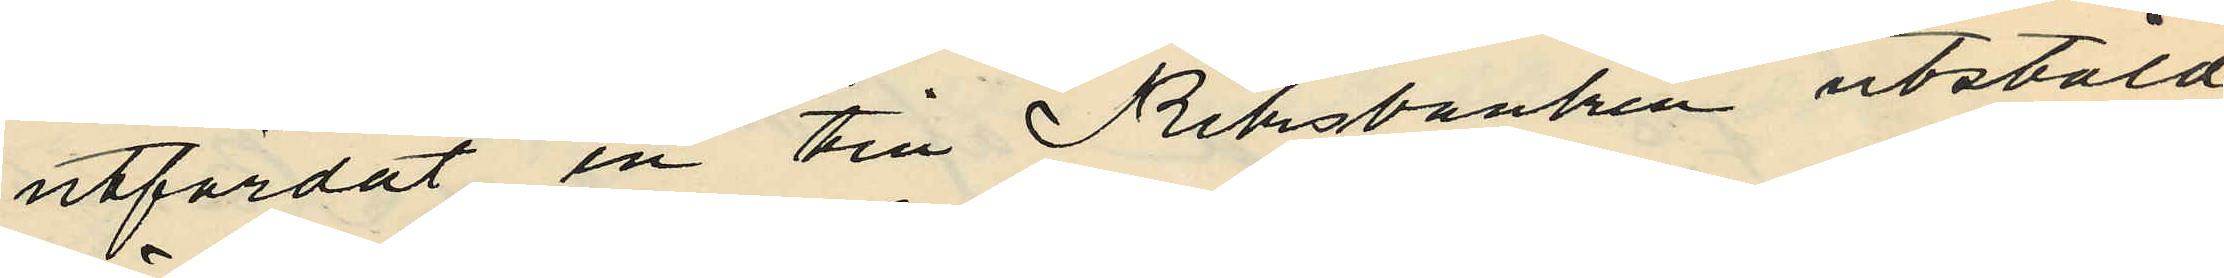utfärdat en till Riksbanken utstäld
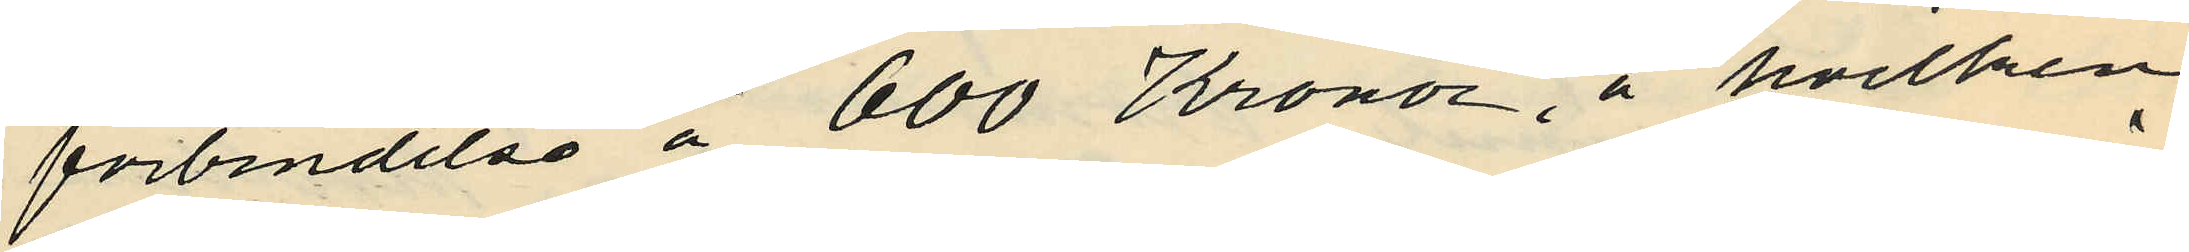förbindelse å 600 Kronor, å hvilken
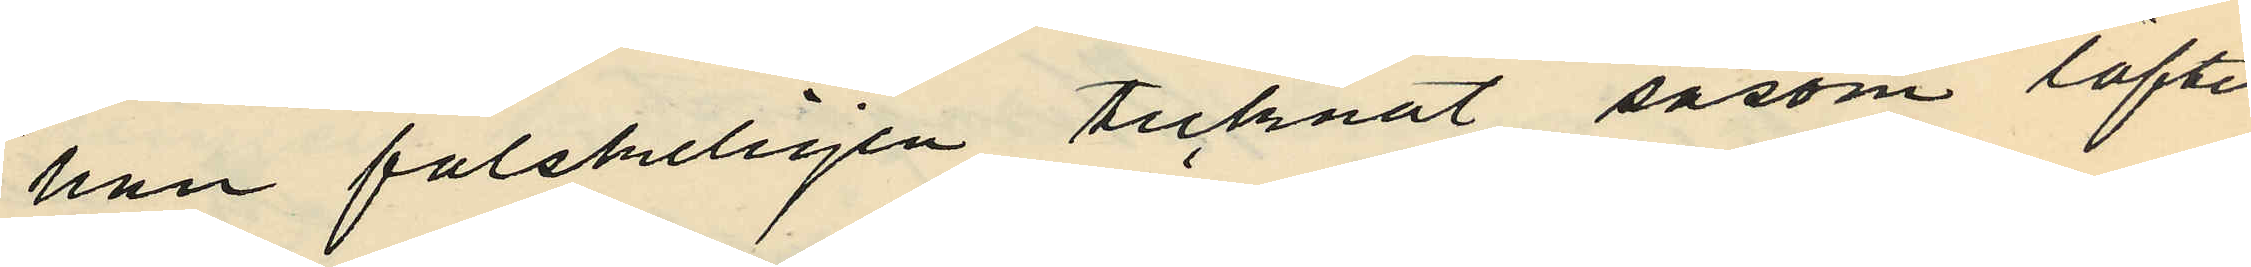han falskeligen tecknat såsom löftes¬
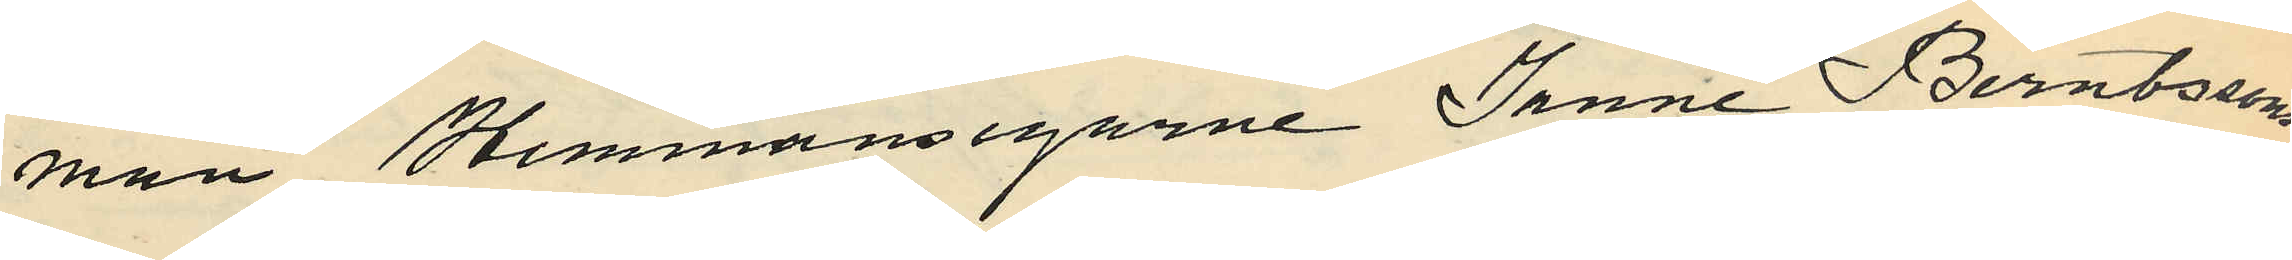man Hemmansegarne Janne Berntssons
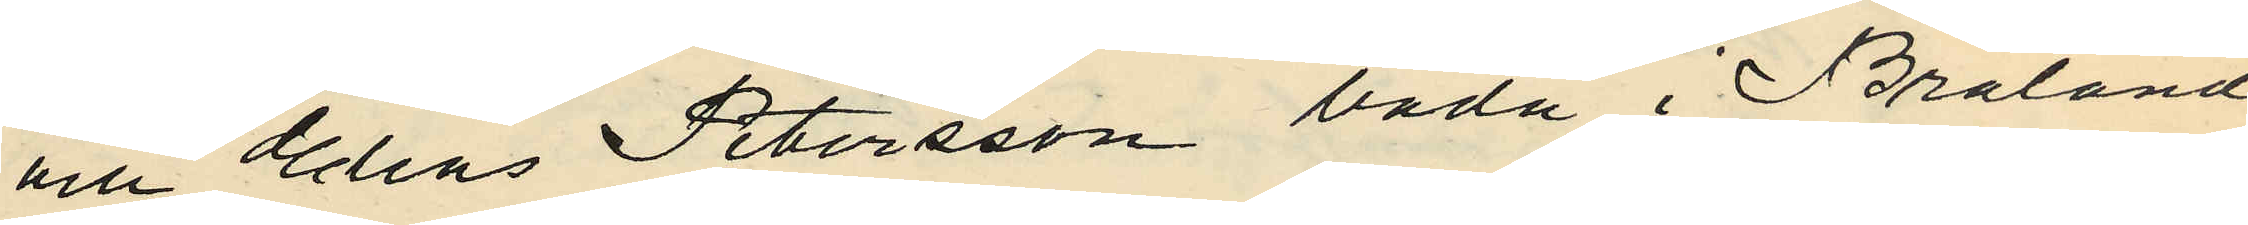och Elias Petersson båda i Bråland
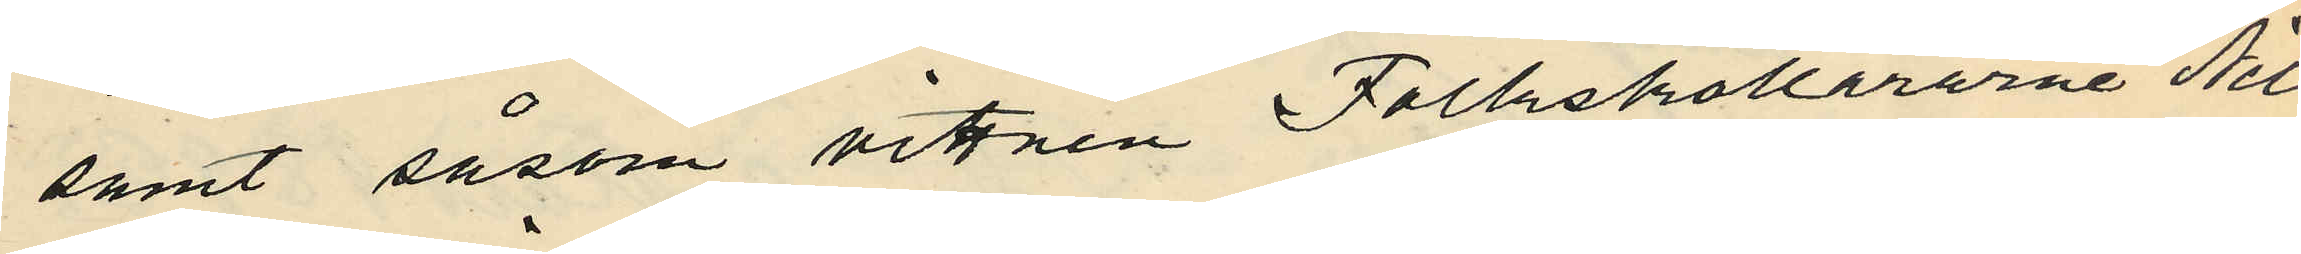samt såsom vittnen Folkskollärarne Nils
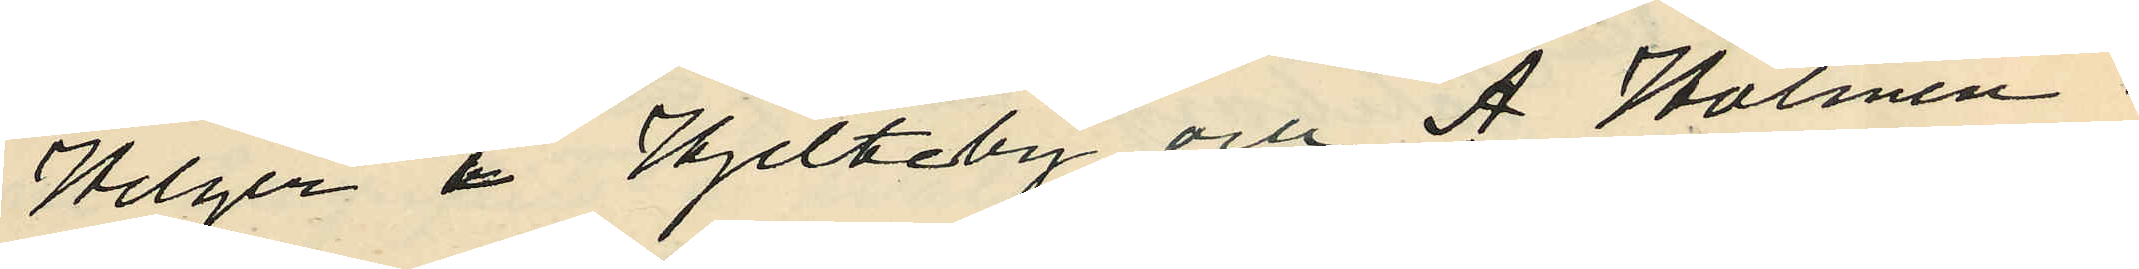Helger i Hjelteby och A Holmen i
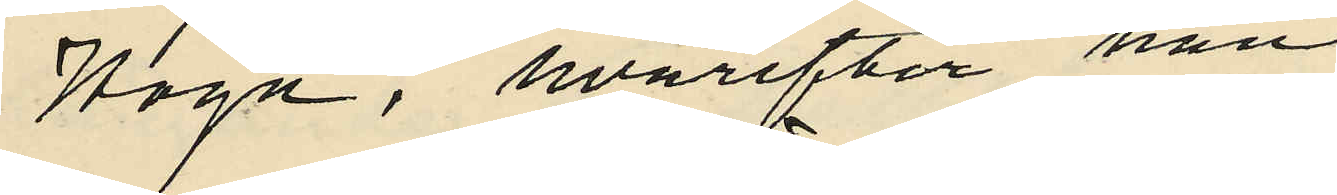Hogn, hvarefter han
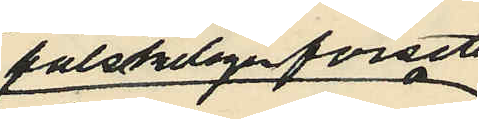falskeligen försett
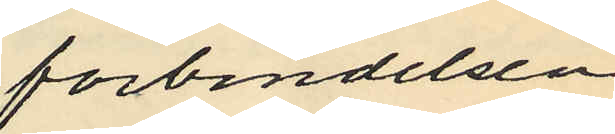förbindelsen
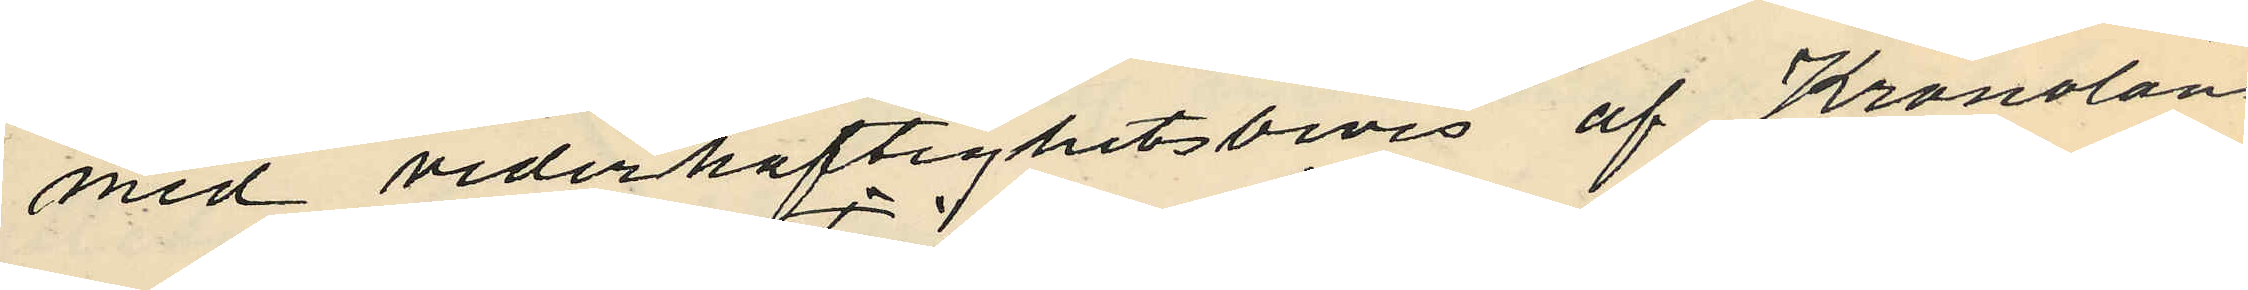med vederhäftighetsbevis af Kronoläns¬
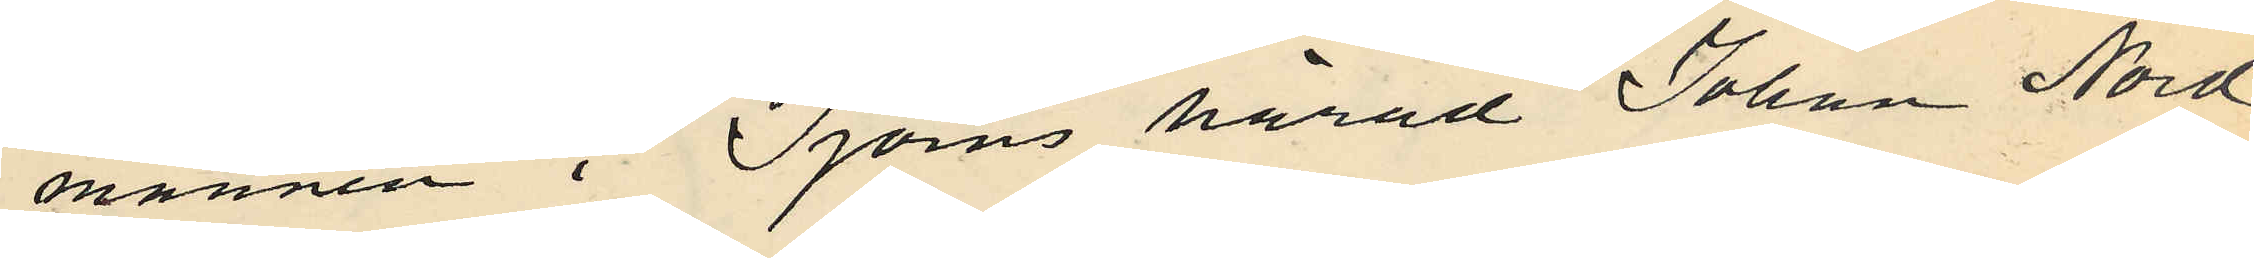mannen i Tjörns härad Johan Nord¬
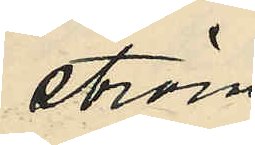ström.
